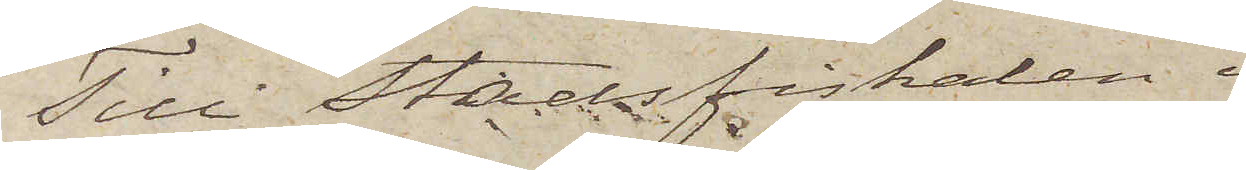Till Stadsfiskalen i
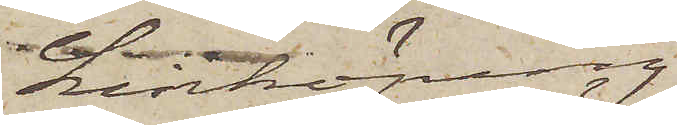Linköping.
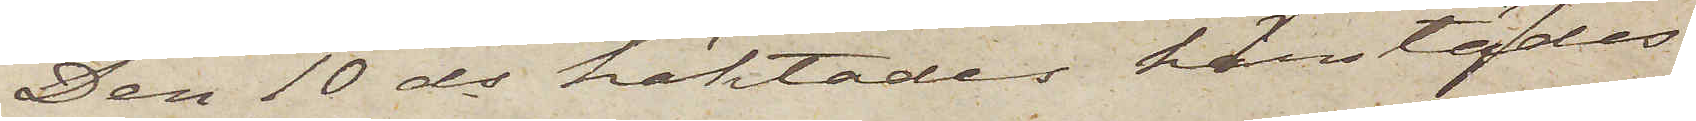Den 10 ds häktades härstädes
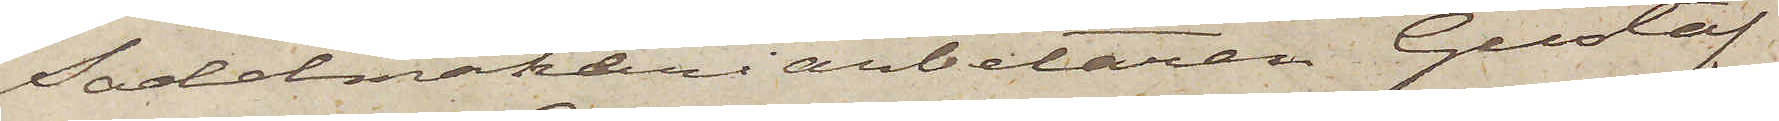Sadelmakeriarbetaren Gustaf
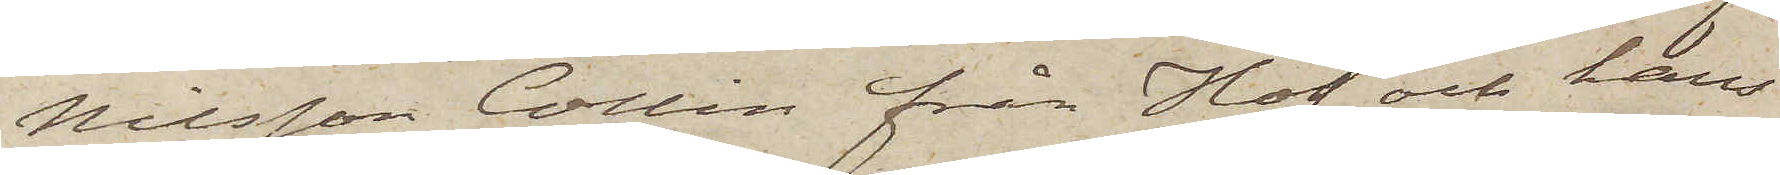Nilsson Collin från Hof och hans
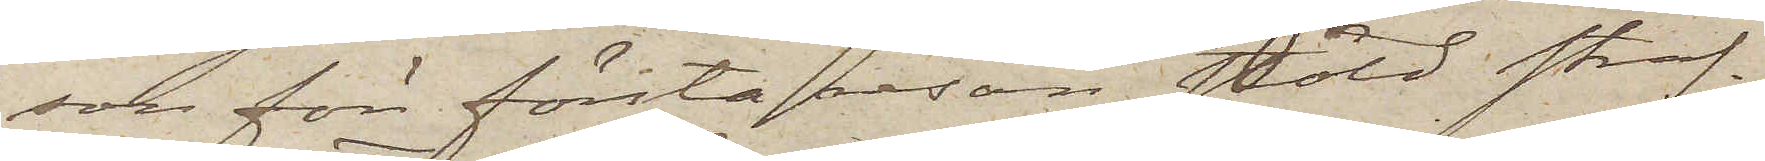son för första resan stöld straf¬
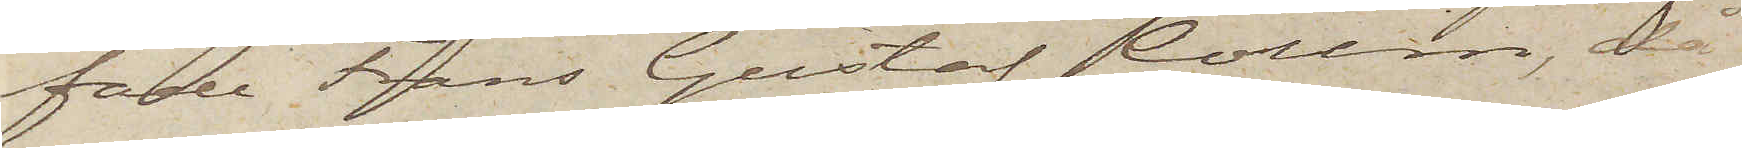fade Frans Gustaf Collin, då
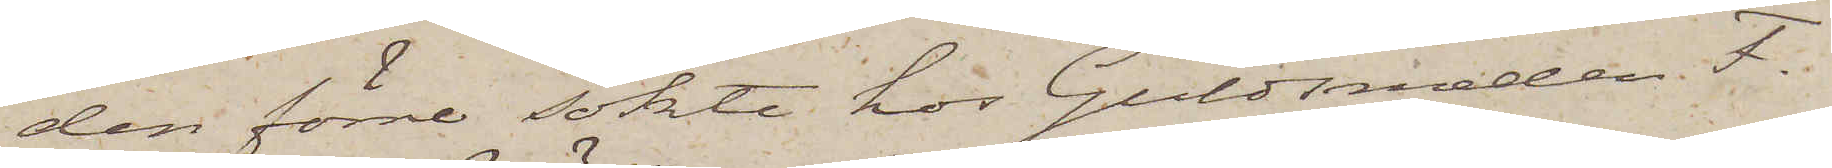den förre sökte hos Guldsmeden F.
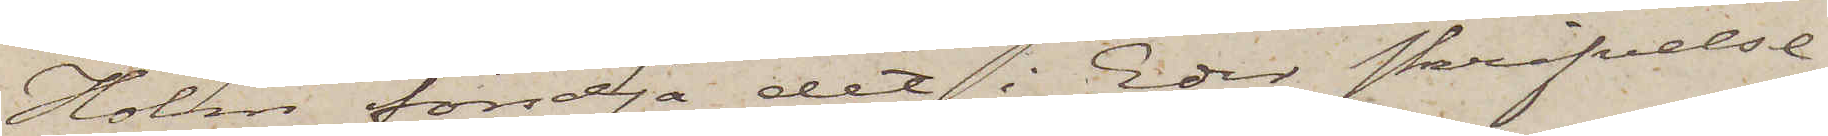Holm försälja det i Eder skrifvelse
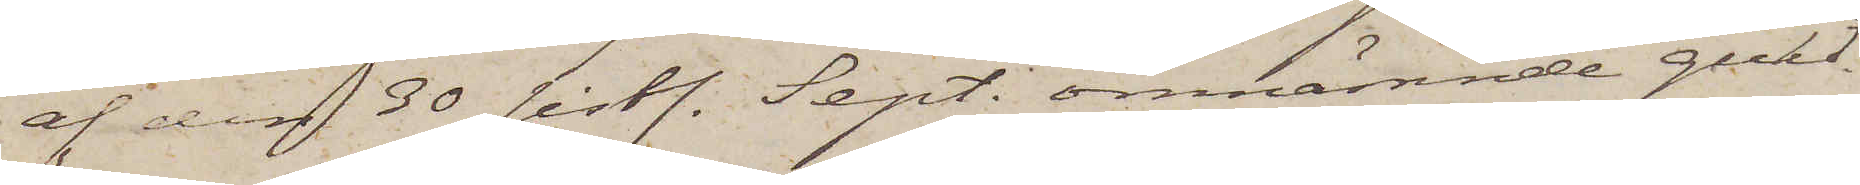af den 30 sistl. Sept. omnämnde guld¬
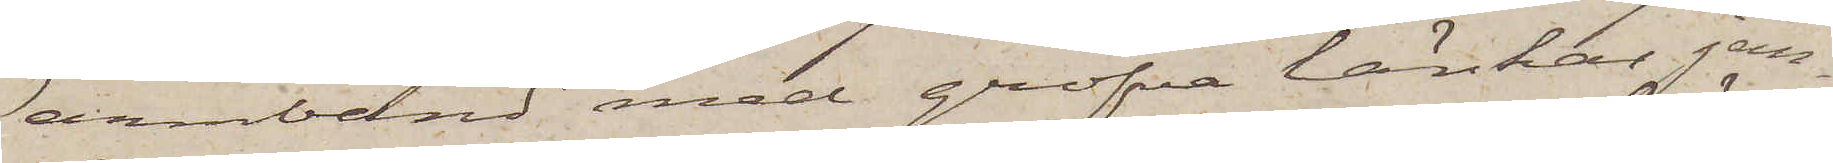armband med grofva länkar jem¬
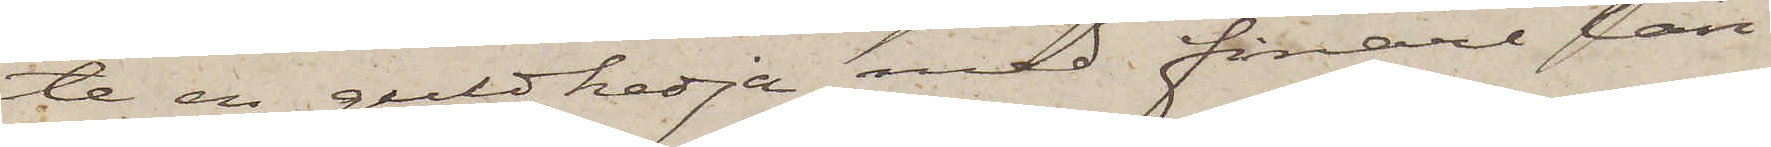te en guldkedja med finare län¬
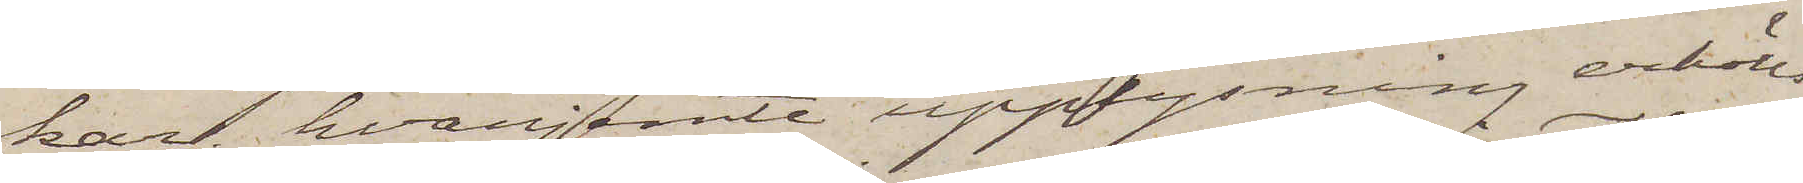kar, hvarjemte upplysning erhölls
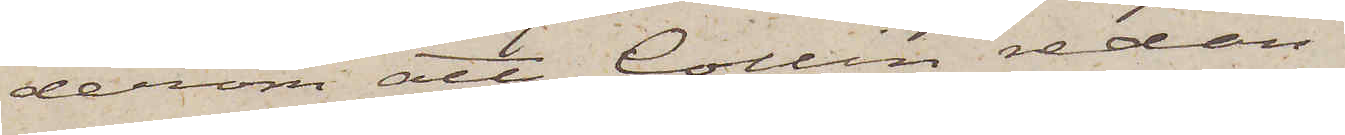derom att Collin redan
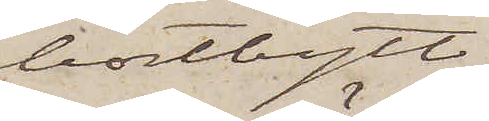bortbytt
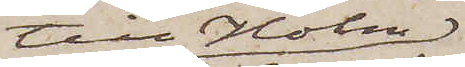till Holm
